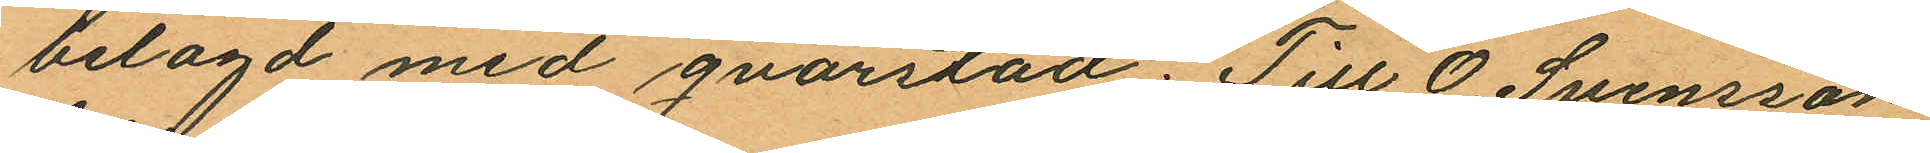belagd med qvarstad; Till O. Svensson
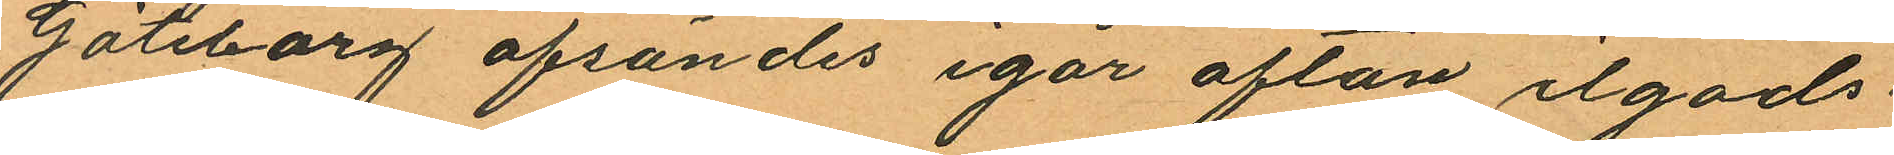Göteborg afsändes igår afton ilgods¬
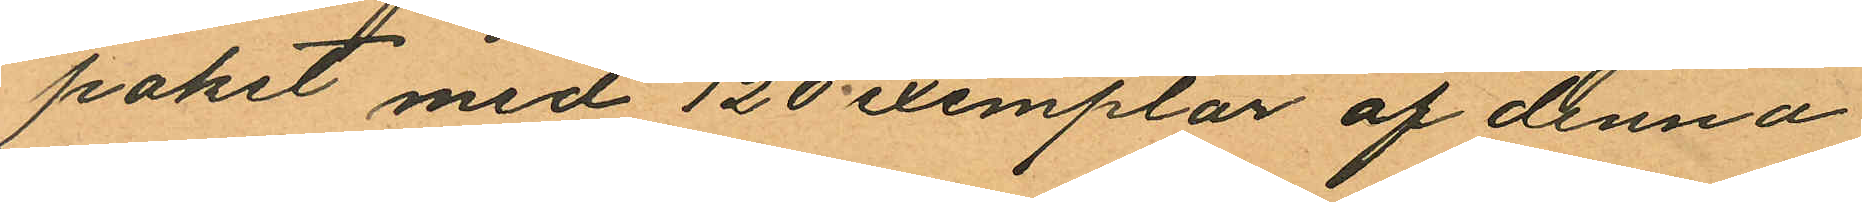paket med 120 exemplar af denna
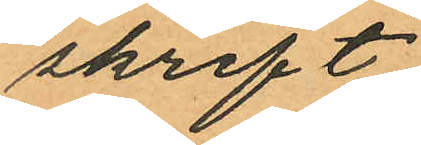skrift.
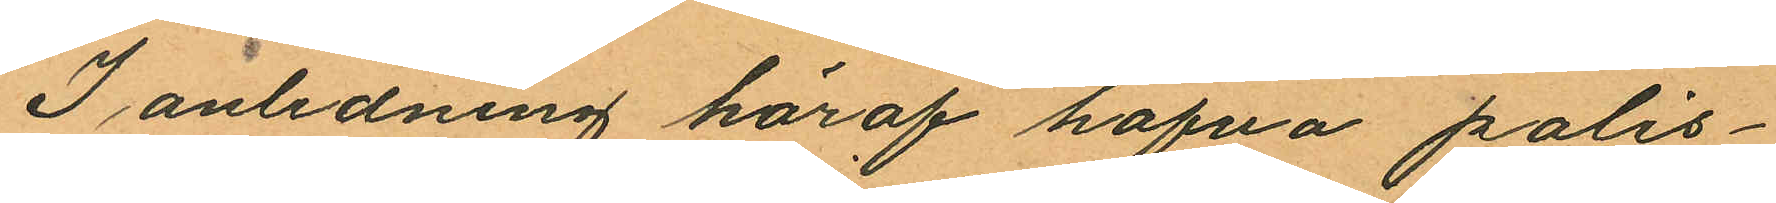I anledning häraf hafva polis¬
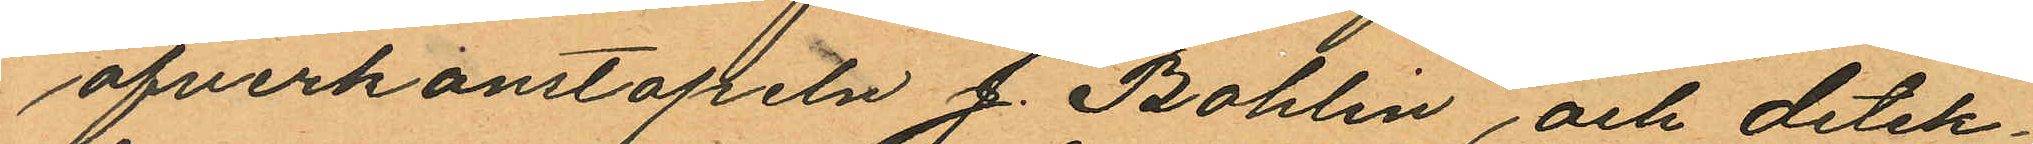ofverkonstapeln J. Bohlin och detek¬
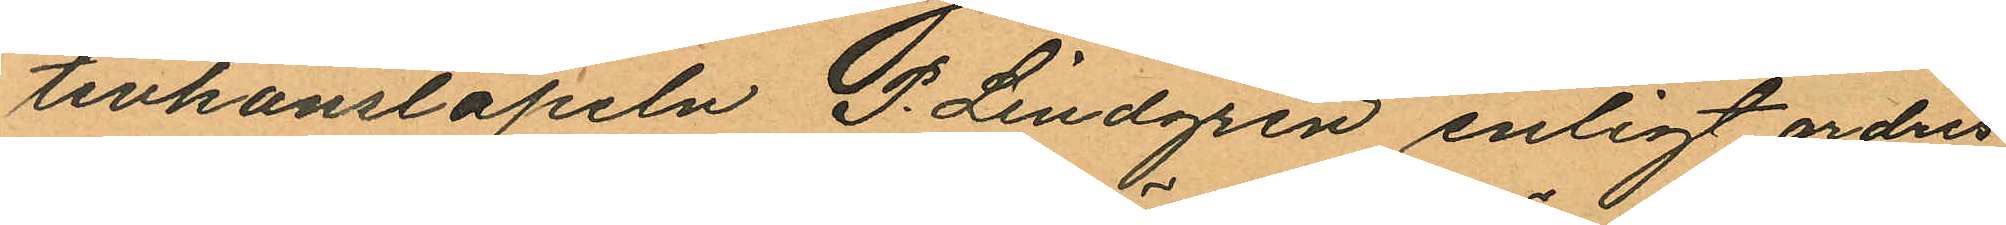tivkonstapeln P. Lindgren enligt orders
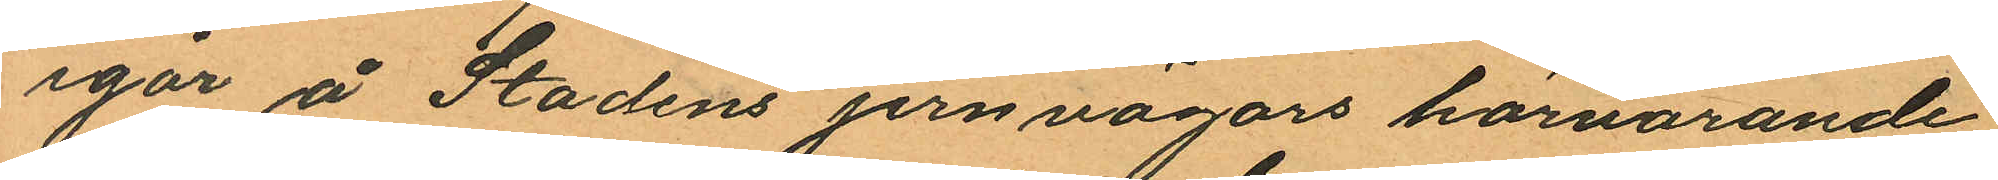igår å Stadens jernvägars härvarande
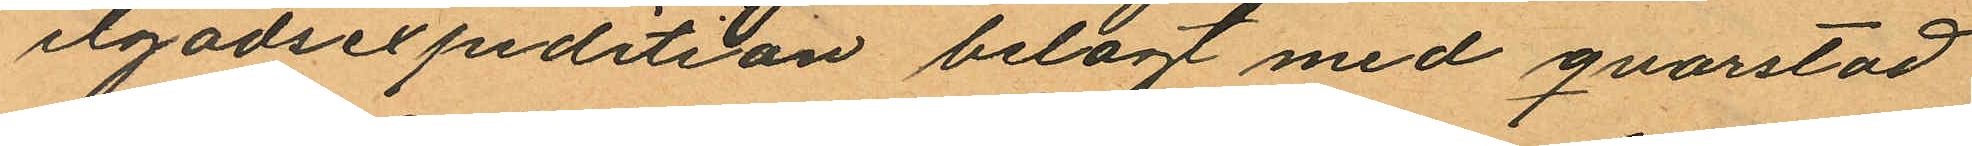ilgodsexpedition belagt med qvarstad
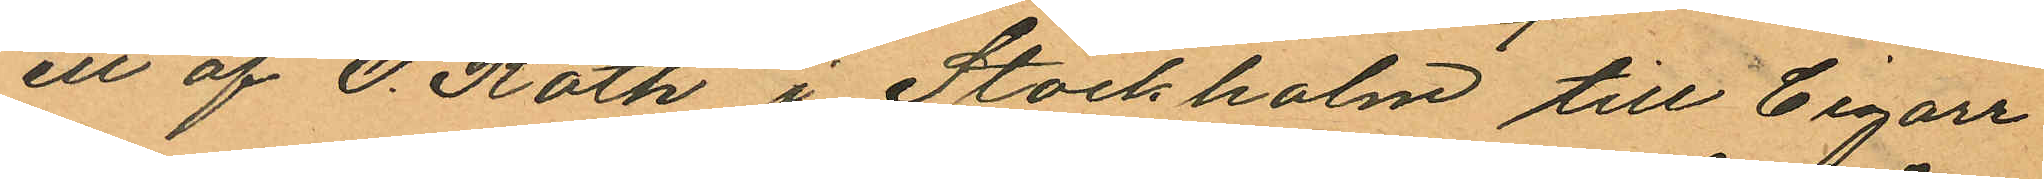ett af O. Roth i Stockholm till Cigarr
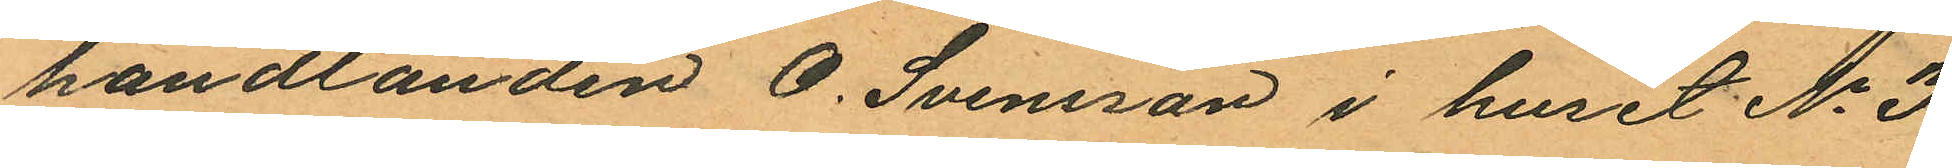handlanden O. Svensson i huset No 3
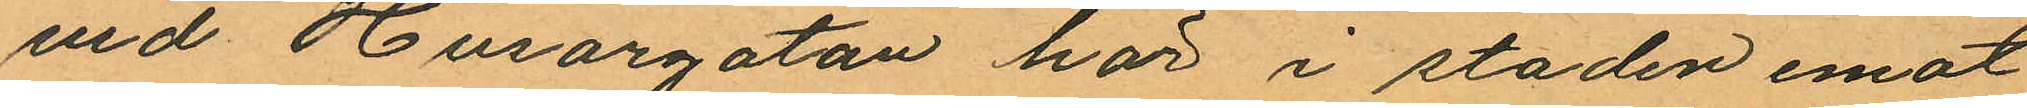vid Husargatan här i staden emot
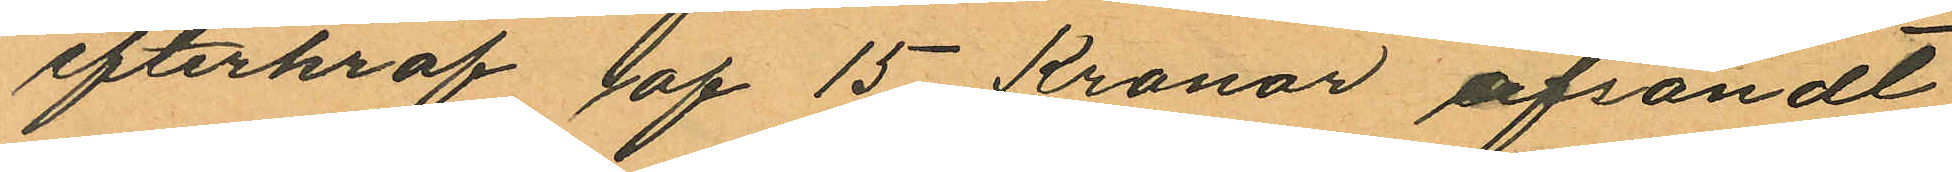efterkraf af 15 Kronor afsändt
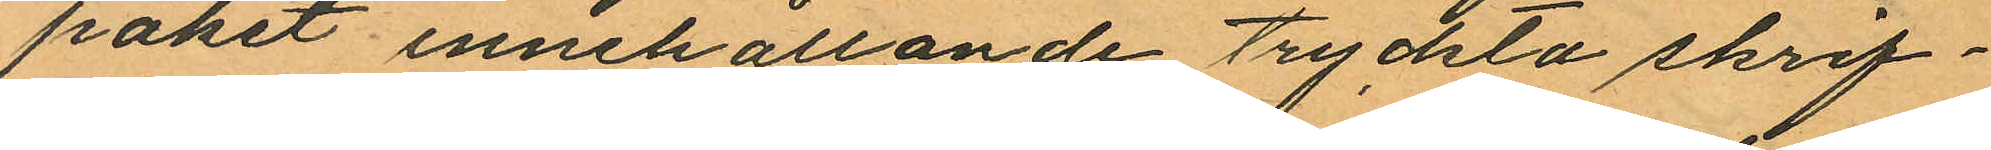paket innehållande tryckta skrif¬
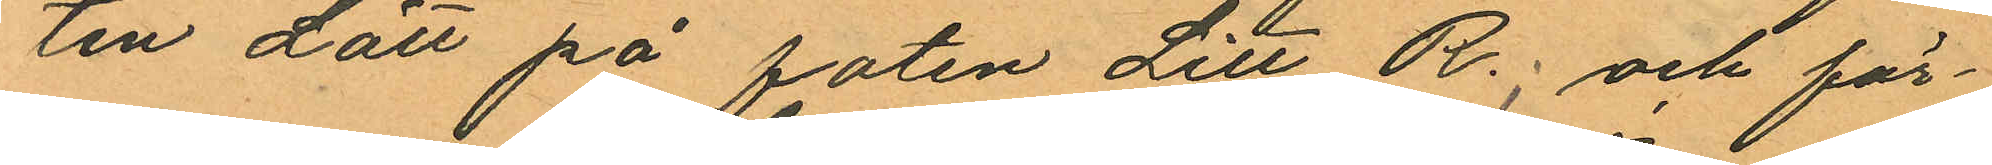ten Lätt på foten Litt R.; och för¬
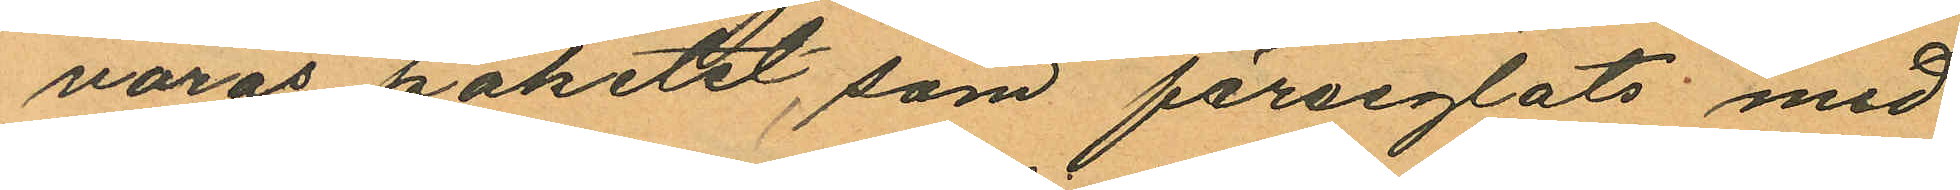varas paketet, som förseglats med
